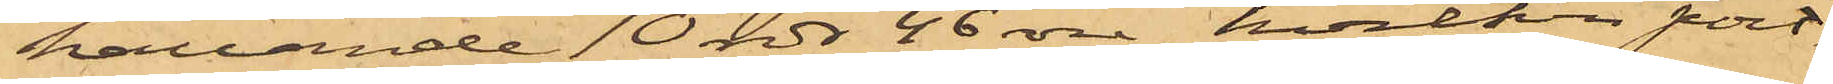hållande 10 rdr 46 öre, hvilken port¬
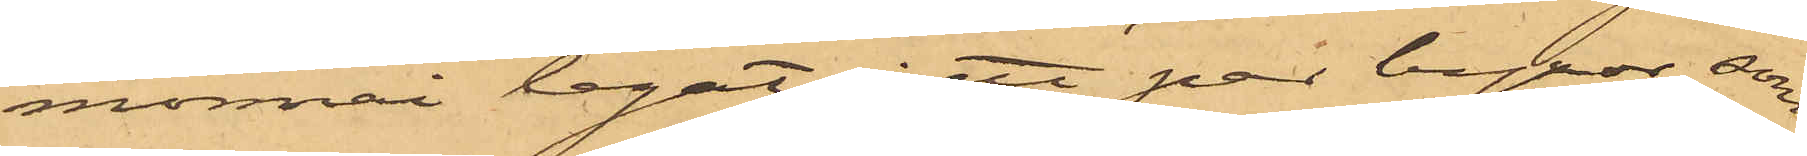monnai legat i ett par byxor, som
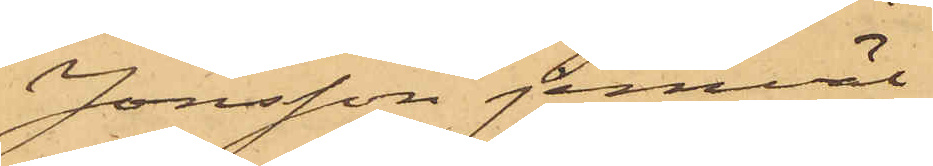Jonsson jemväl
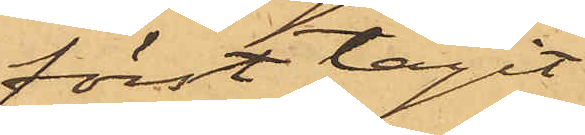först tagit
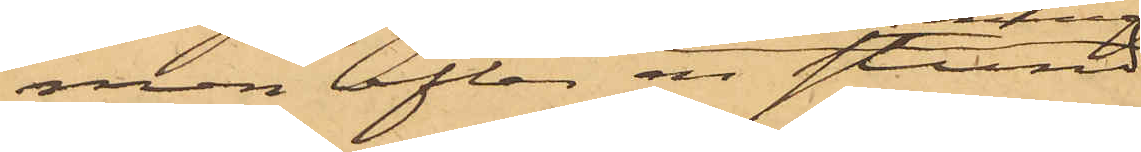men efter en stund
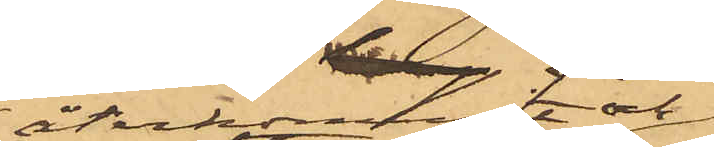återkommit och
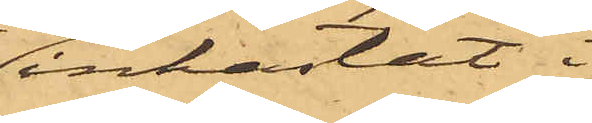inkastat i
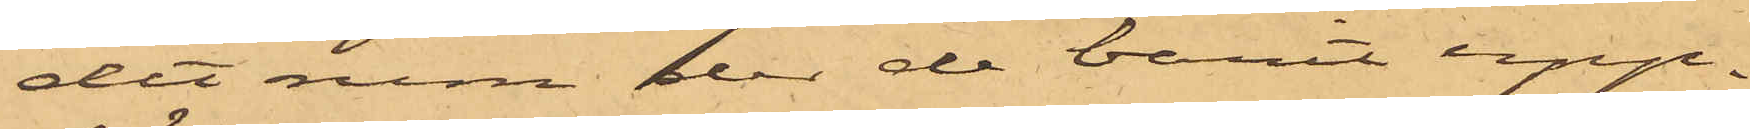det rum der de varit upp¬
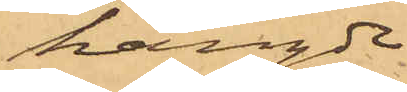hängde.
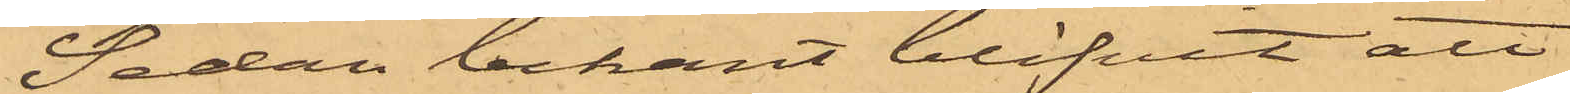Sedan bekant blifvit att
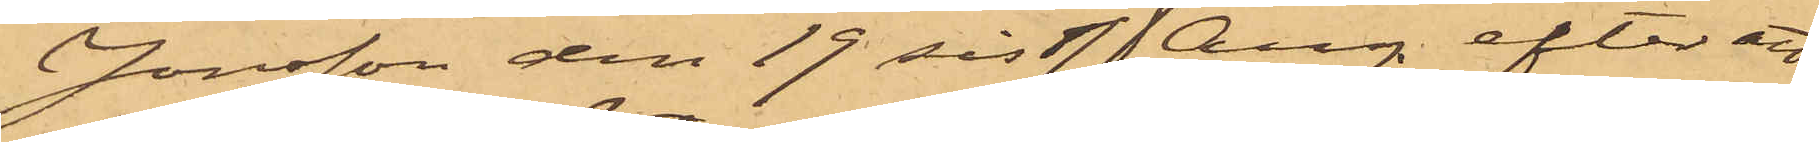Jonsson den 19 sistl. Aug. efter att
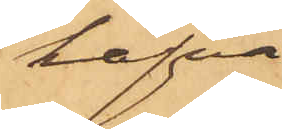hafva
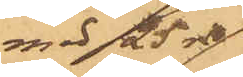med 25 rdr
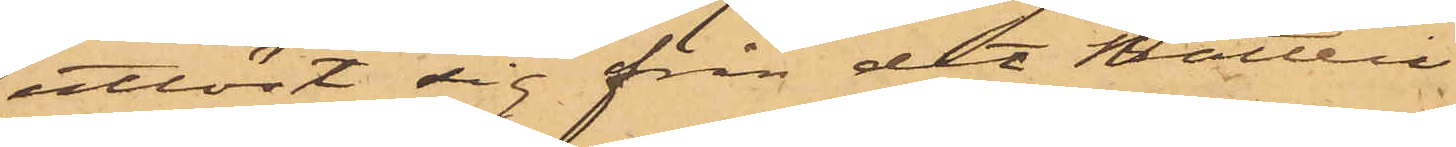utlöst sig från det Batteri
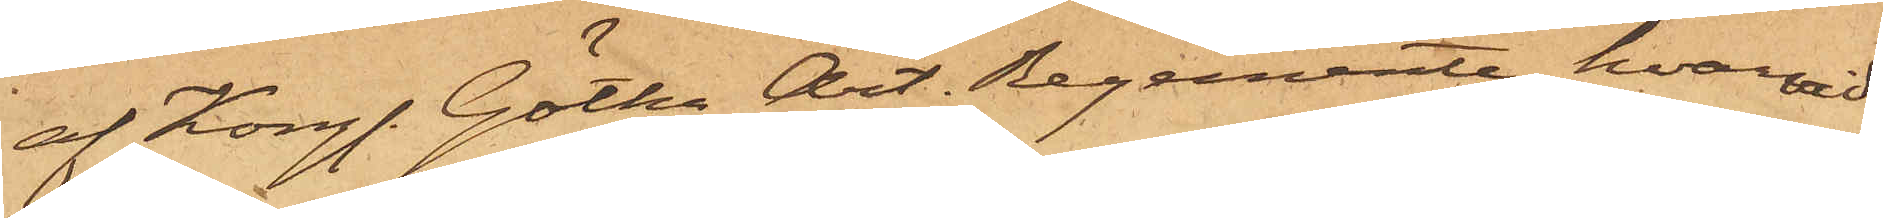af Kongl. Götha Art. Regemente, hvarvid
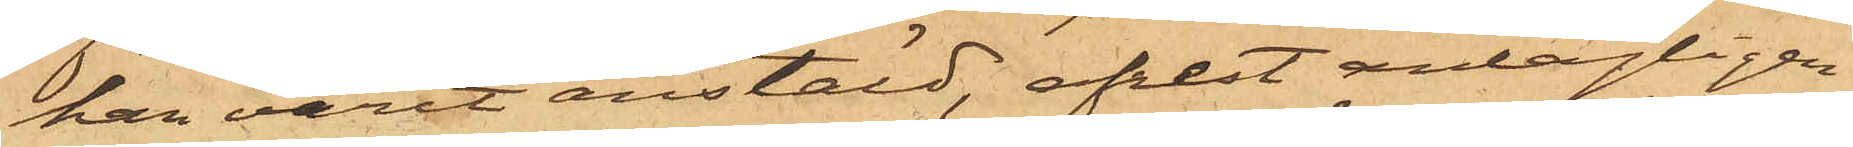han varit anstäld, afrest antagligen
